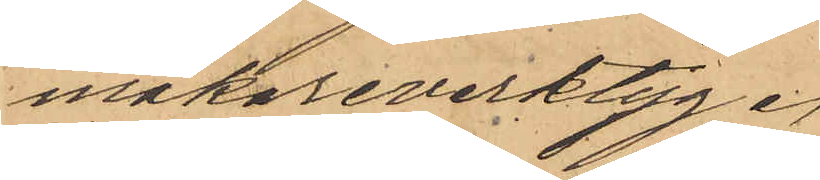makareverktyg.
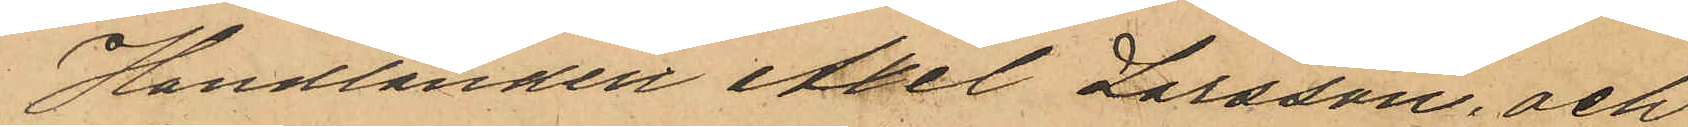Handlanden Axel Larsson, och 
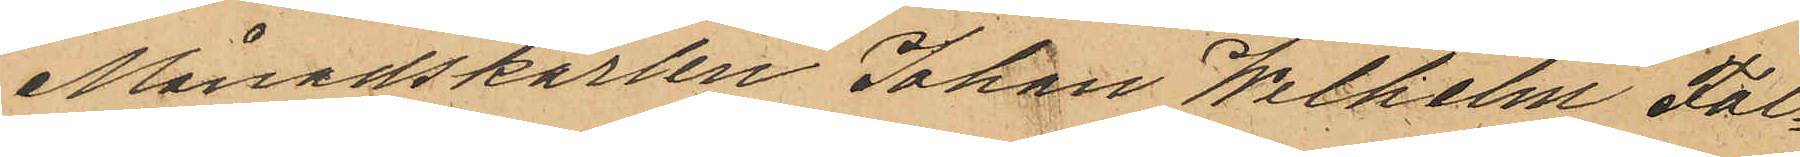Månadskarlen Johan Wilhelm Fal¬
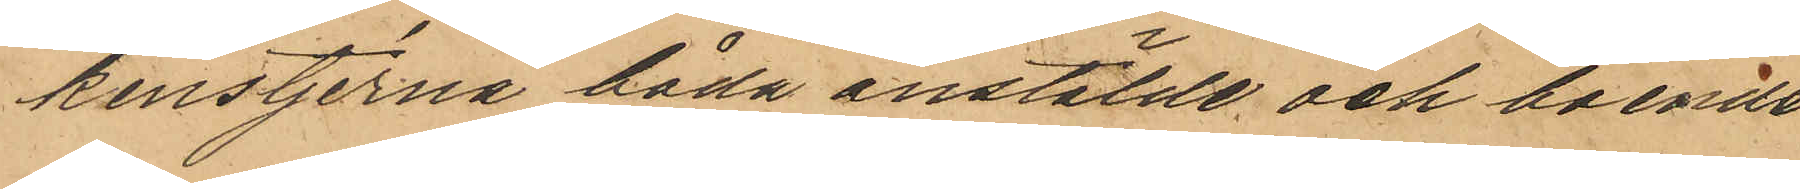kenstjerna båda anstälde och boende
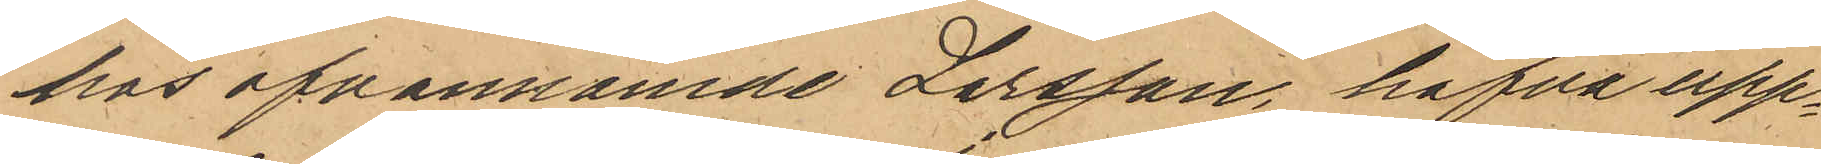hos ofvannämde Larsson, hafva upp¬
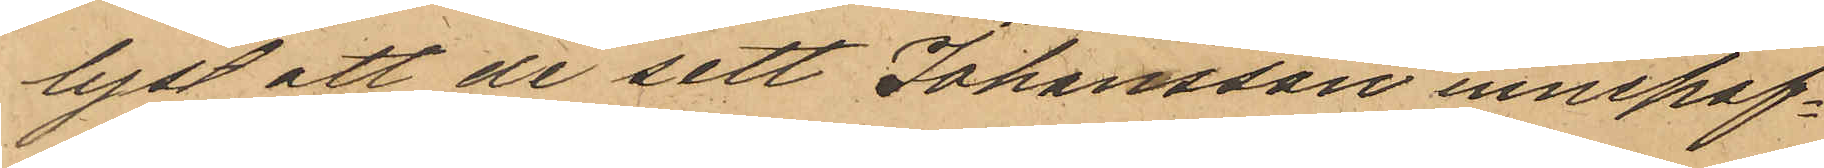lyst att de sett Johansson innehaf¬
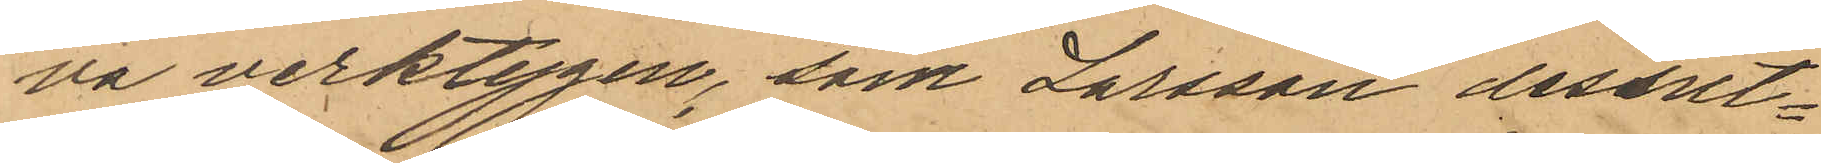va verktygen, som Larsson dessut¬
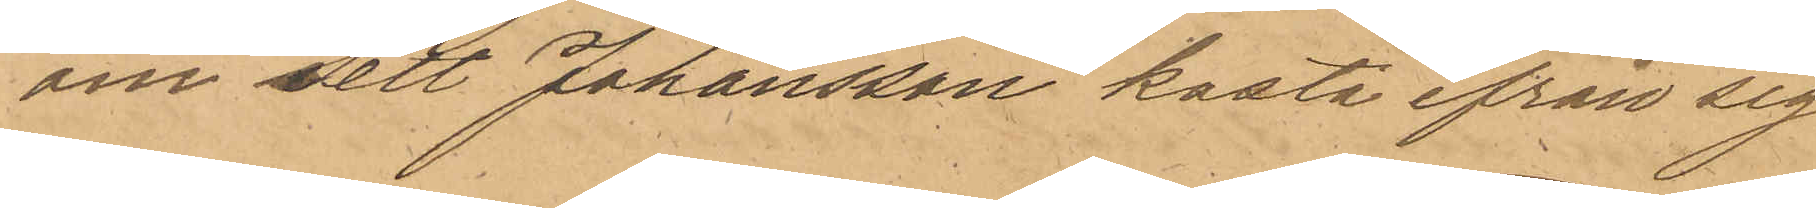om sett Johansson kasta ifrån sig
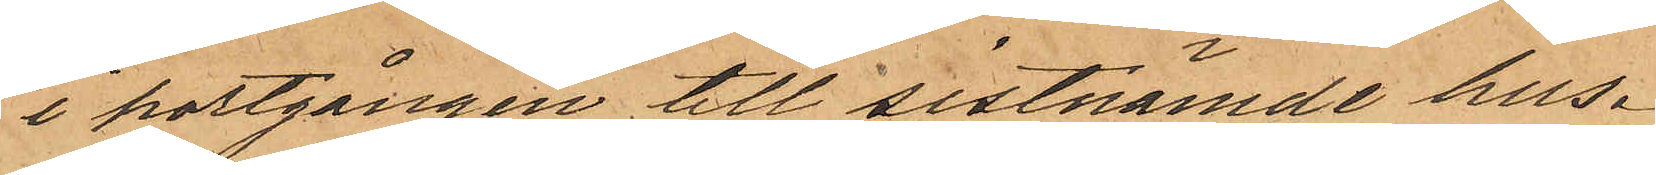i portgången till sistnämnde hus.
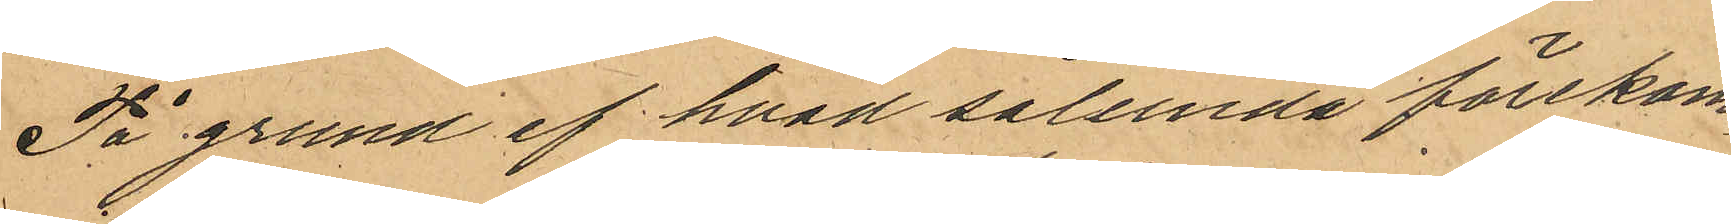På grund af hvad sålunda förekom¬
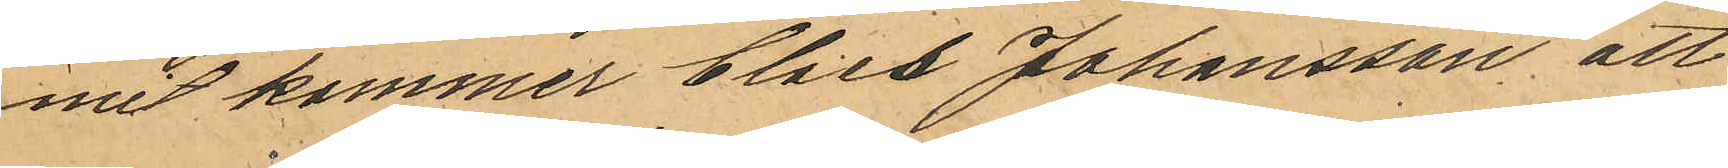mit kommer Claes Johansson att
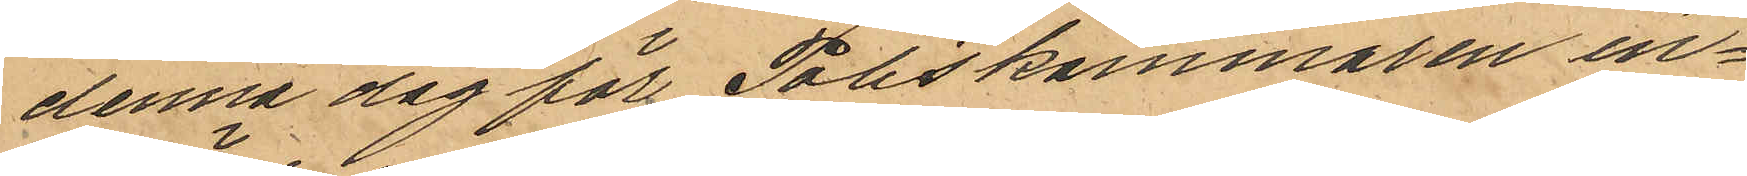denna dag för Poliskammaren in¬
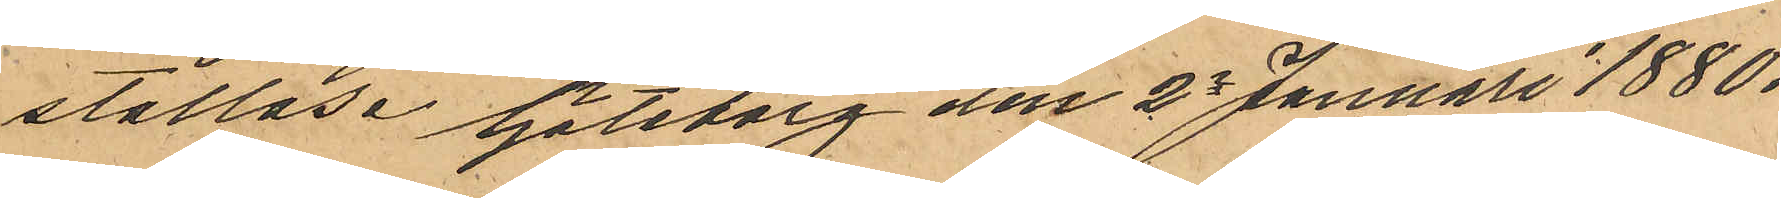ställas. Göteborg den 2e Januari 1880.
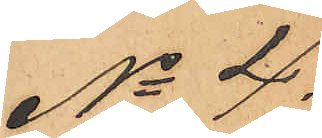No 4.
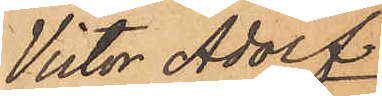Victor Adolf
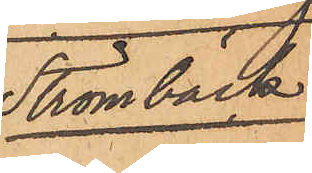Strömbäck.
